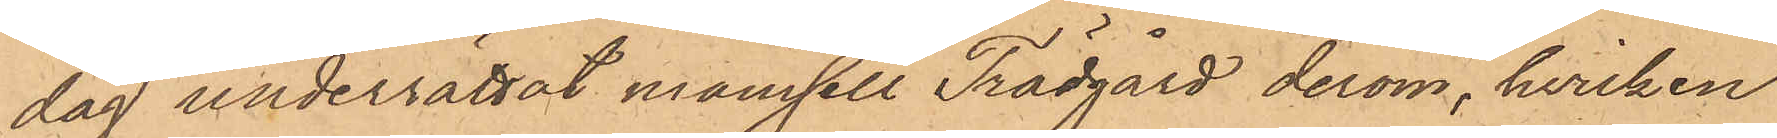dag underrättat mamsell Trädgård derom, hvilken
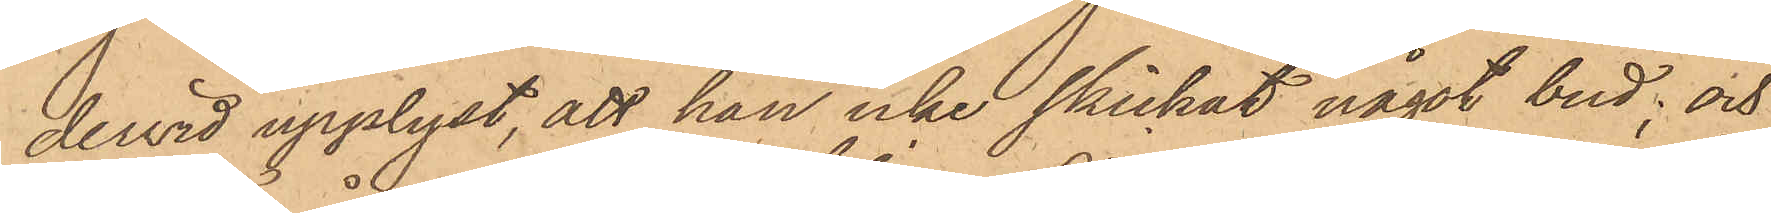dervid upplyst, att han icke skickat något bud; och
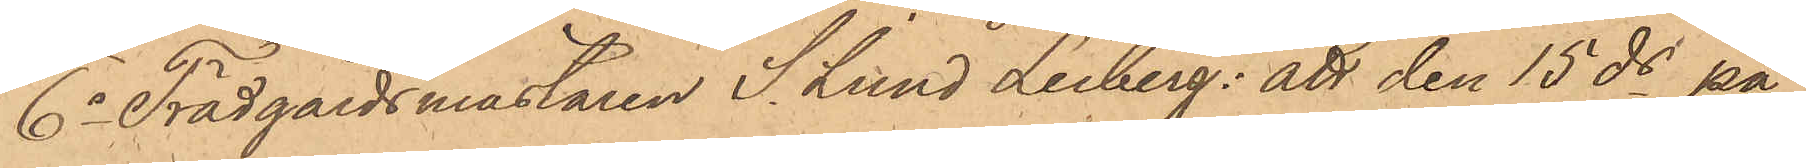6o Trädgårdsmästaren S. Lund Leiberg: att den 15 ds på
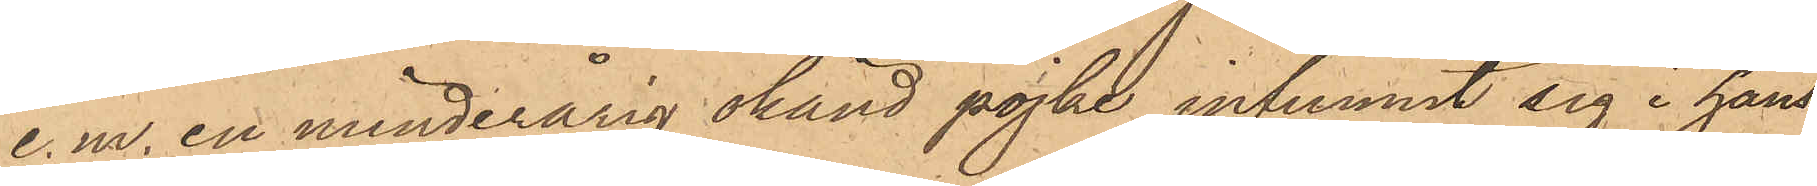e. m. en minderårig okänd pojke infunnit sig i hans
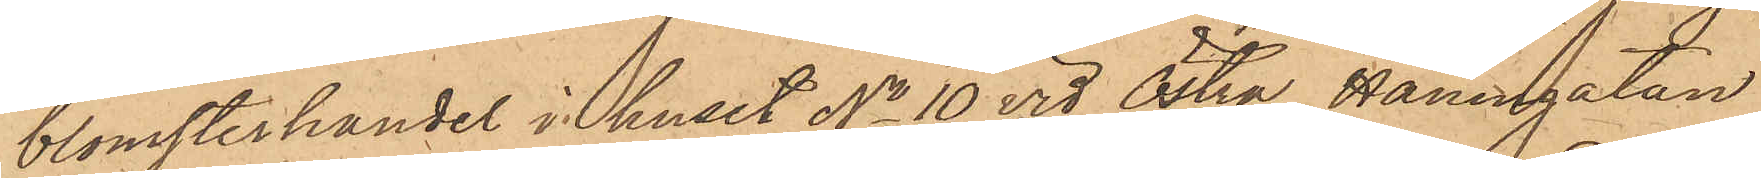blomsterhandel i huset No 10 vid Östra Hamngatan
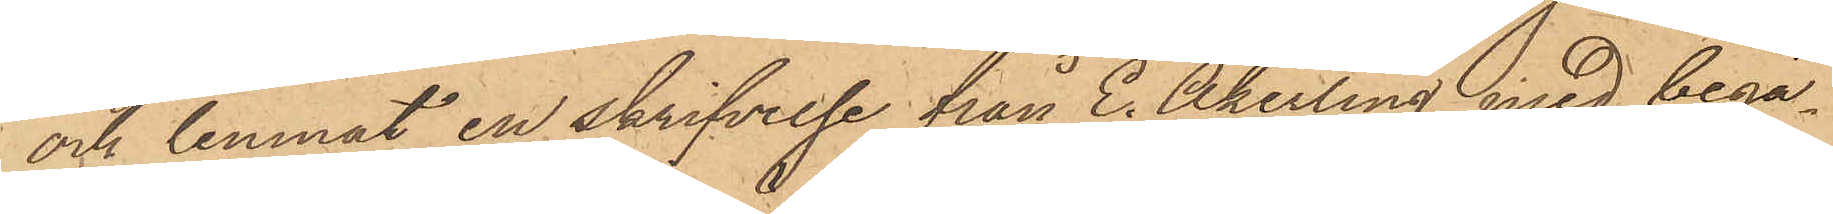och lemnat en skrifvelse från E. Åkerling med begä¬
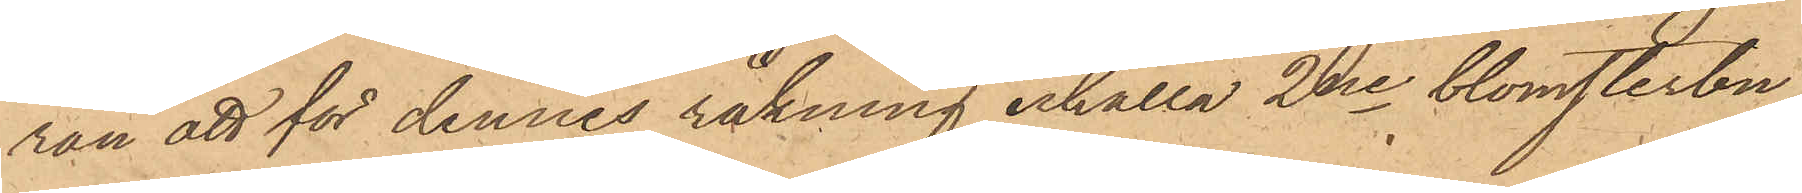ran att för dennes räkning erhålla 2ne blomsterbu¬
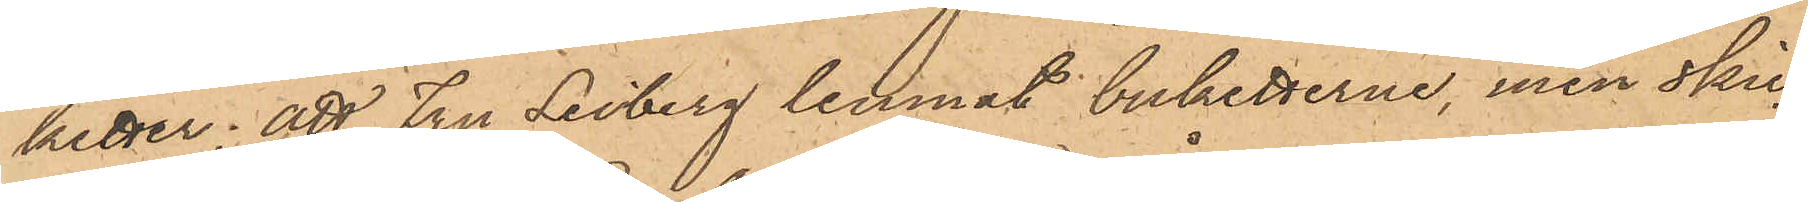hetter; att fru Lisberg lemnat buketterne, men skic¬
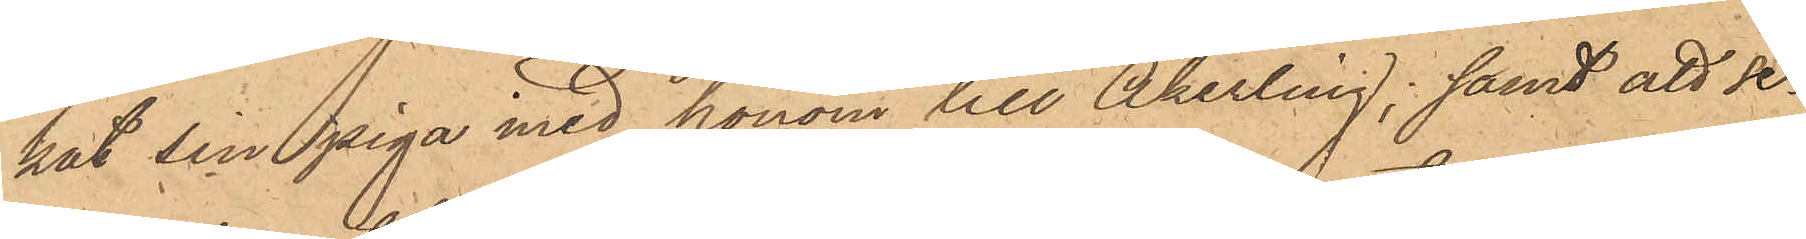kat sin piga med honom till Åkerling; samt att se¬
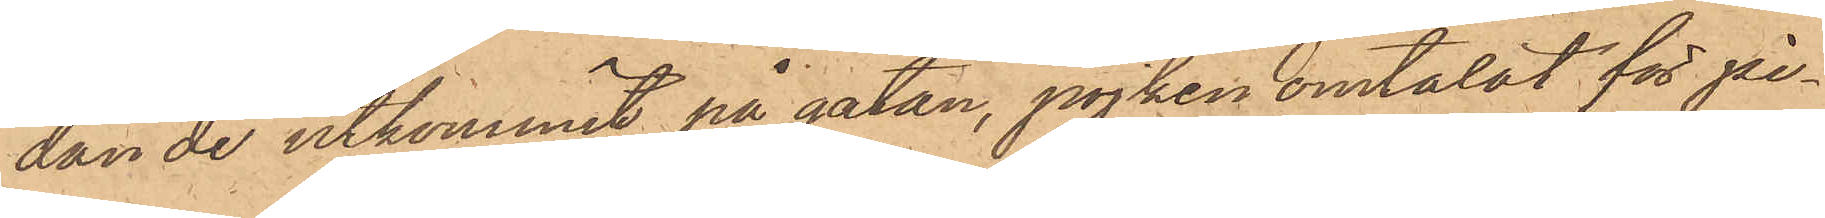dan de utkommit på gatan, pojken omtalat för pi¬
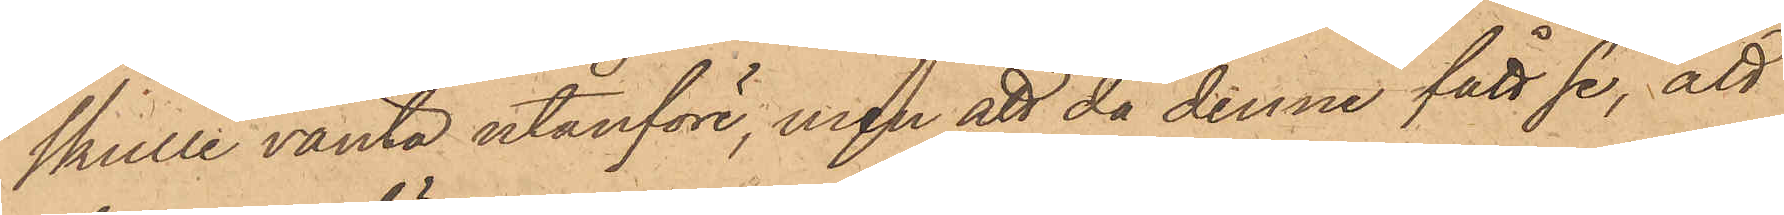skulle vänta utanföre, men att då denne fått se, att
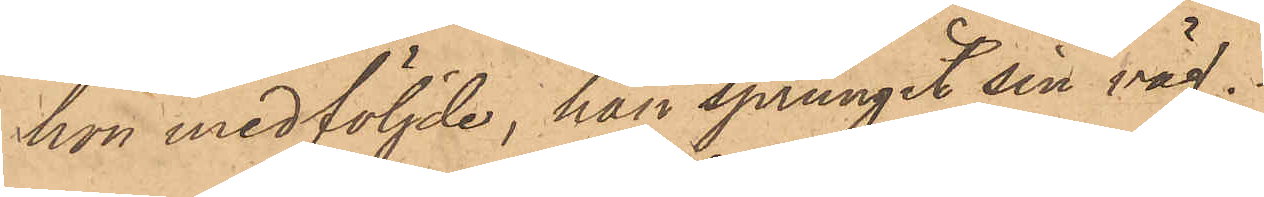hon medföljde, han sprungit sin väg.
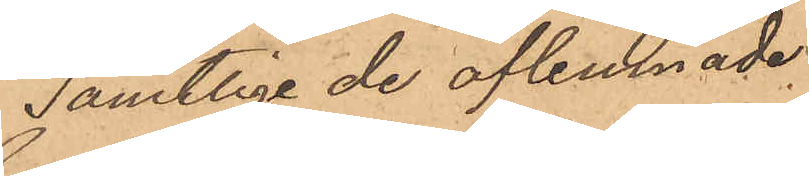Samtlige de aflemnade.
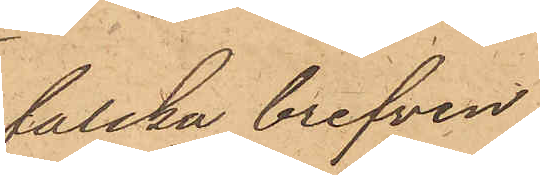falska brefven
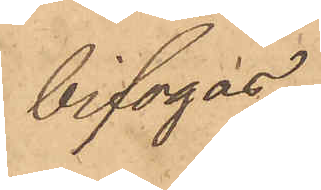bifogas.
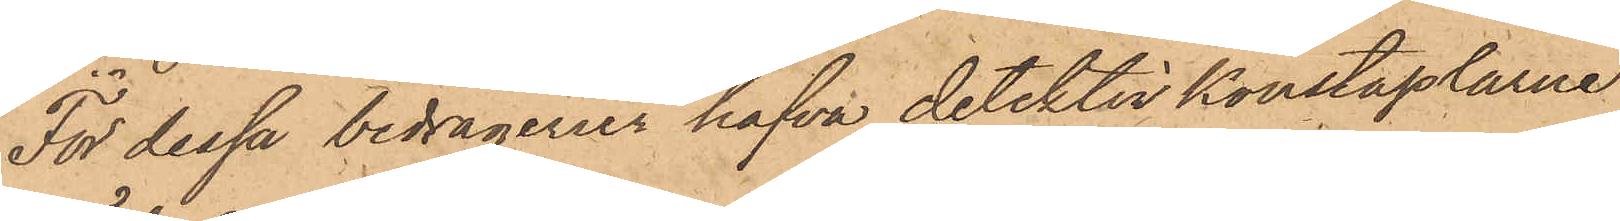För dessa bedrägerier hafva detektivkonstaplarne
